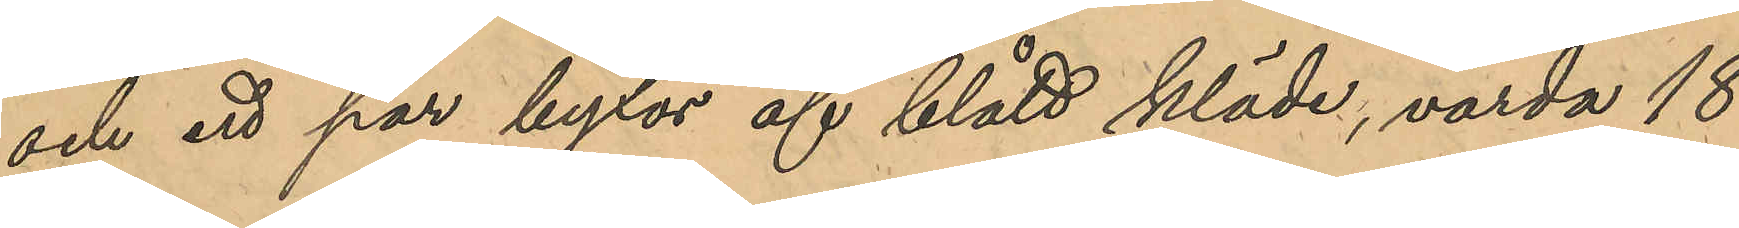och ett par byxor af blått kläde, värda 18
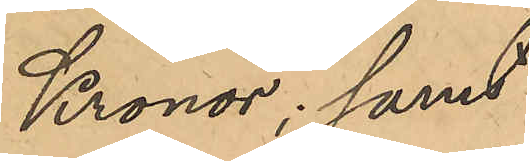Kronor; samt
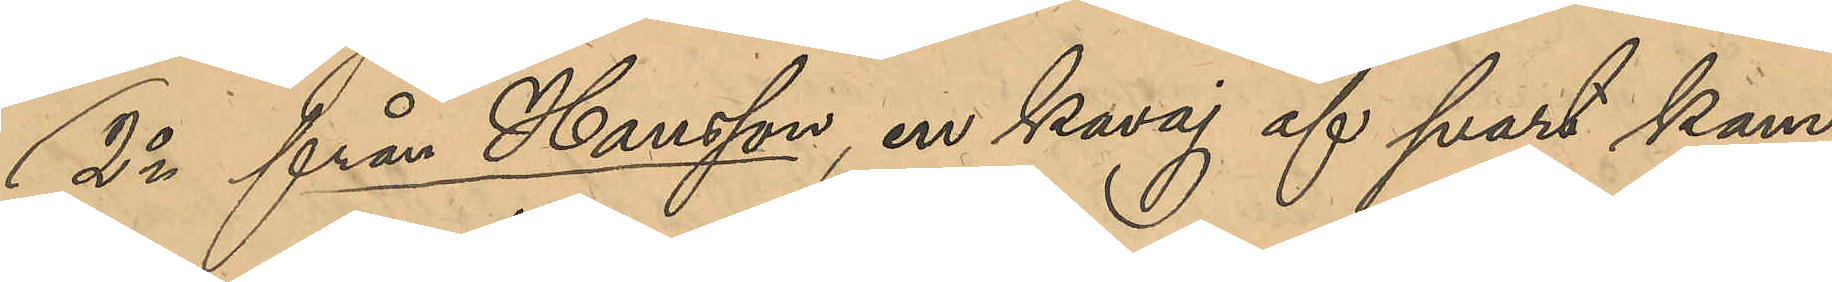2o från Hansson, en kavaj af svart kam¬
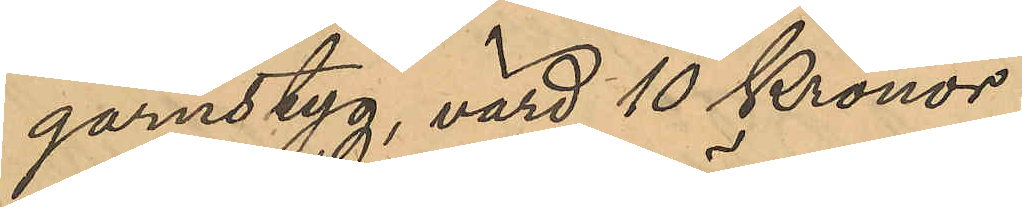garnstyg, värd 10 Kronor.
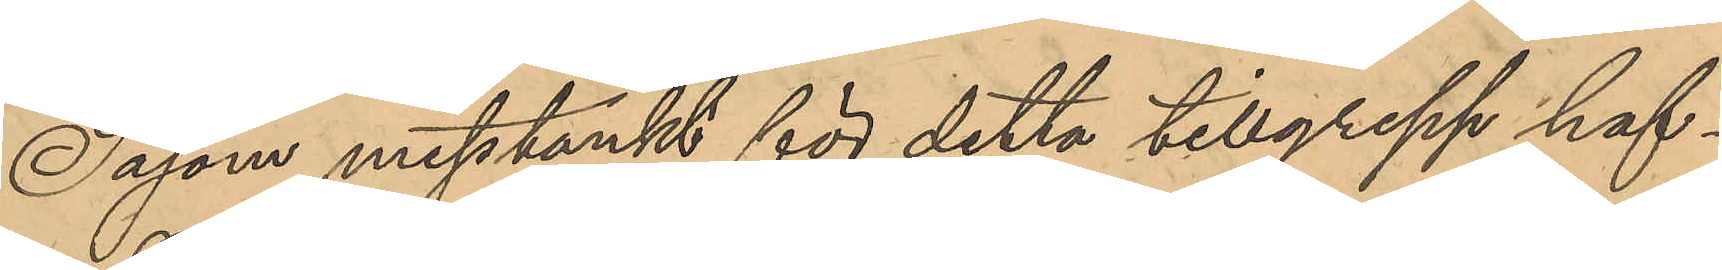Såsom misstänkt för detta tillgrepp haf¬
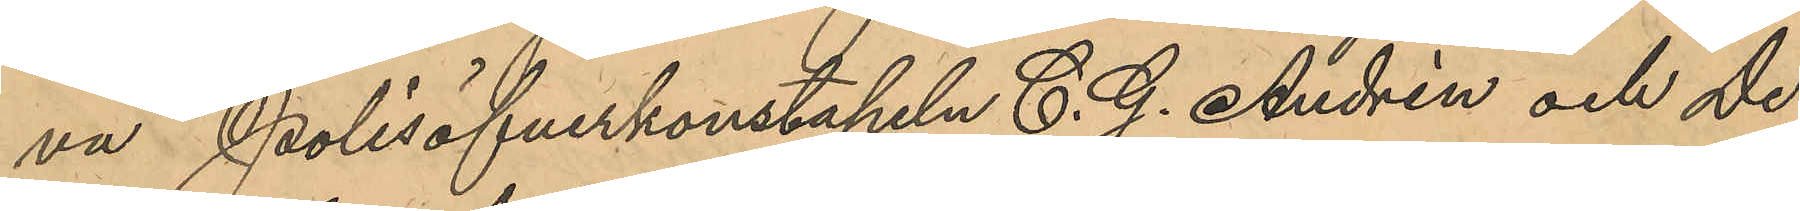va Poliskonstapeln C. J. Andrén och De¬
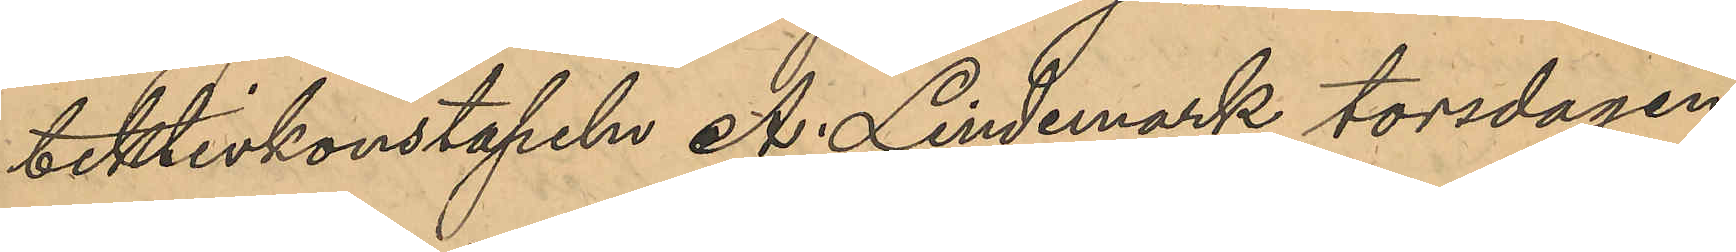tektivkonstapeln A. Lindemark torsdagen
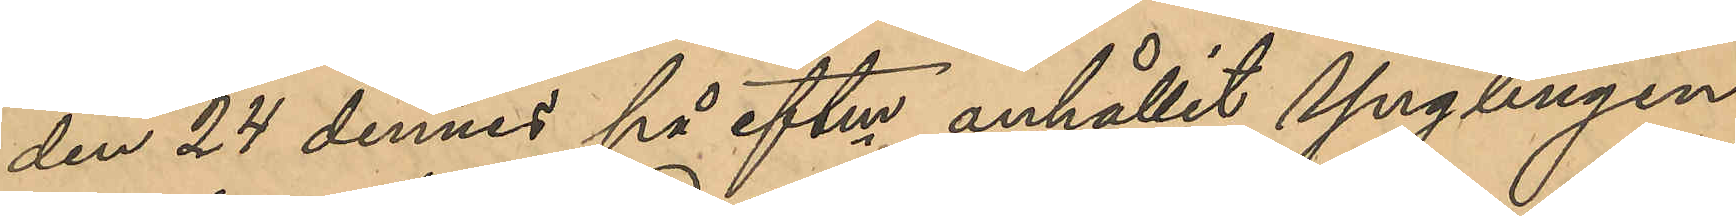den 24 dennes på eftm anhållit Ynglingen
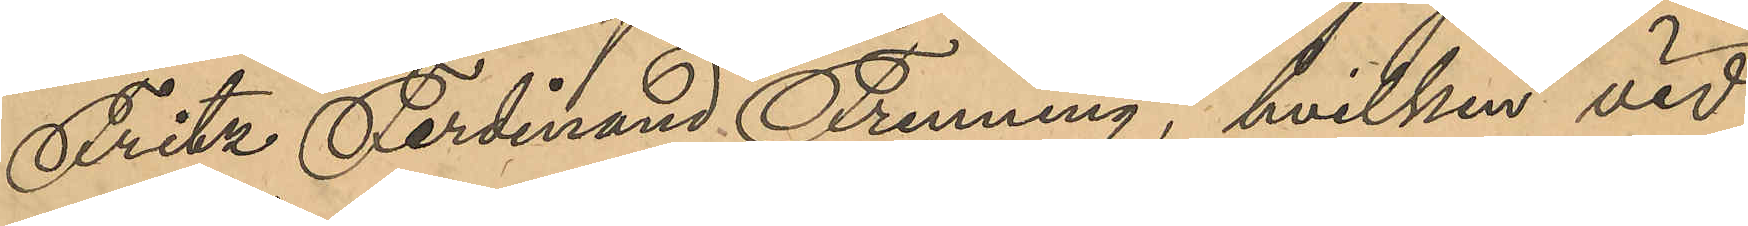Fritz Ferdinand Frenning, hvilken vid
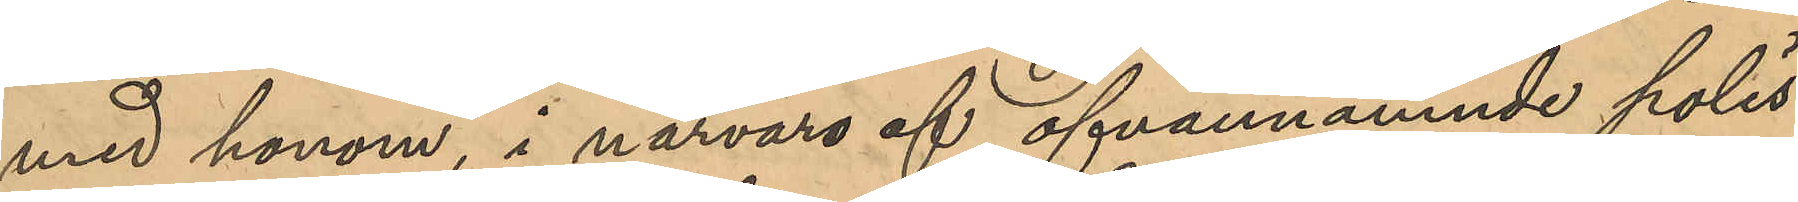med honom, i närvaro af ofvannämnde polis¬
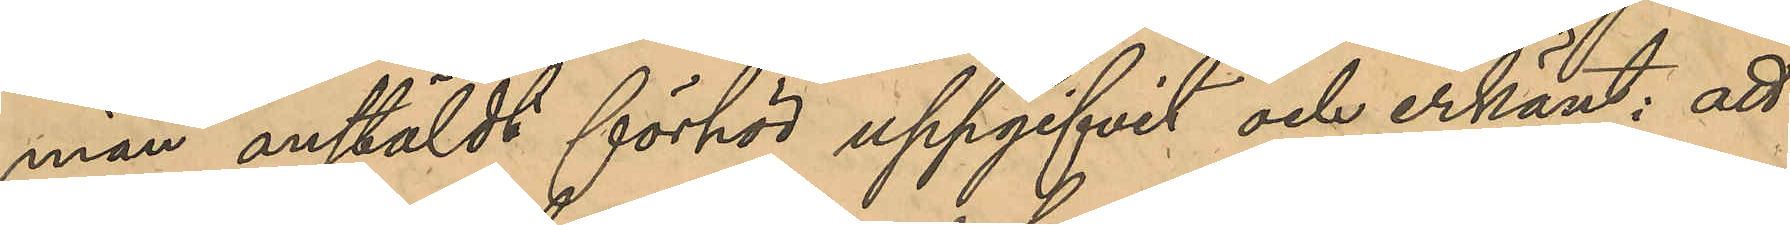män anstäldt förhör uppgifvit och erkänt; att
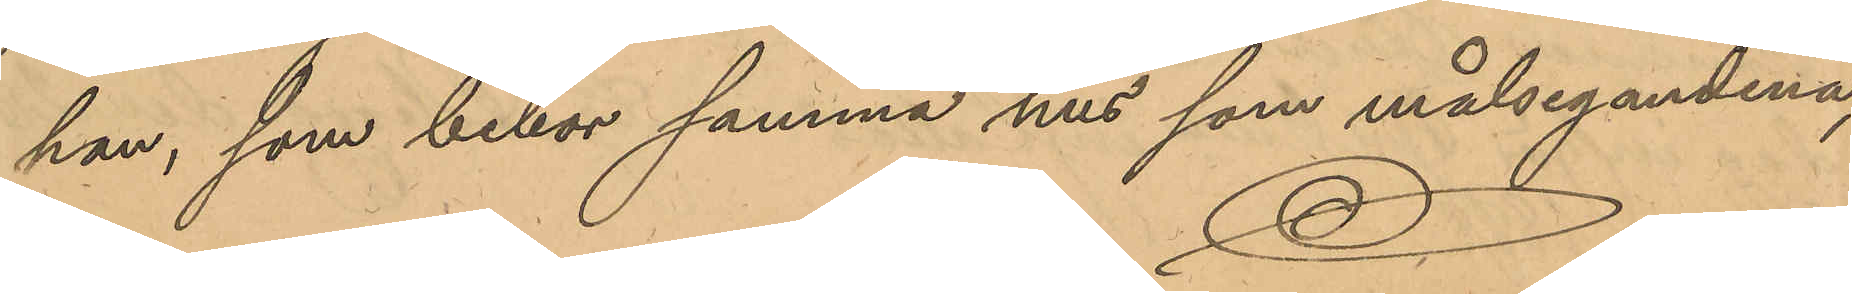han, som bebor samma hus som målseganden,
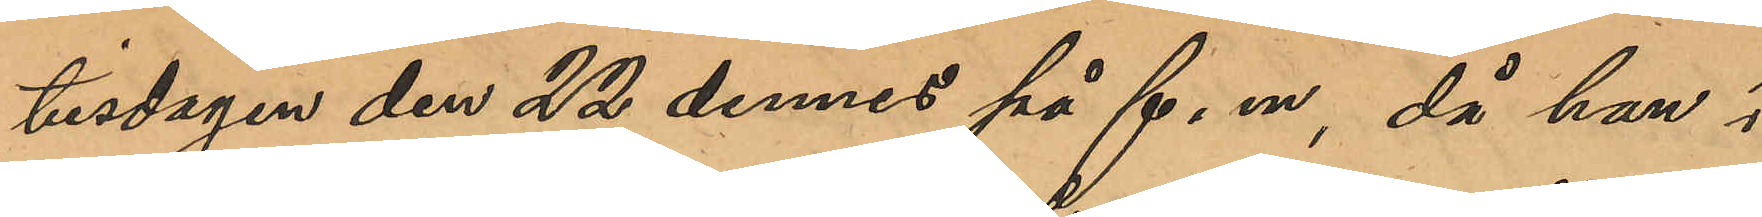tisdagen den 22 dennes på f. m, då han i
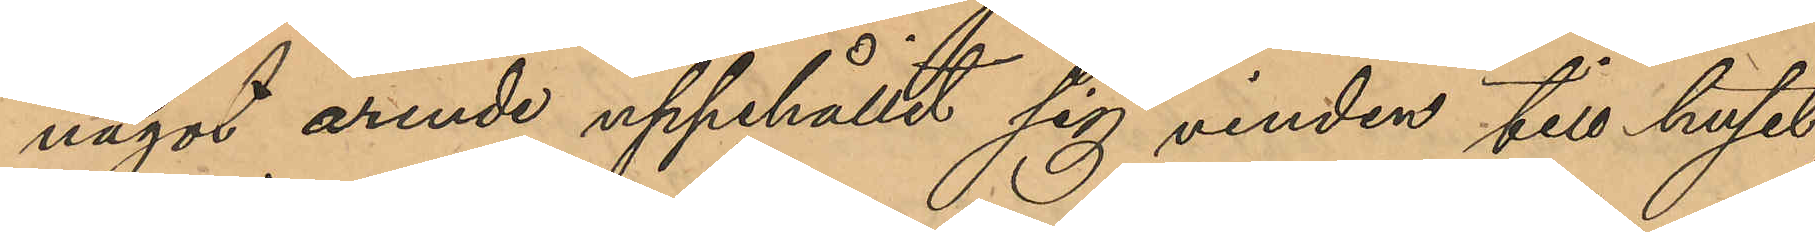något ärende uppehållit sig vinden till huset
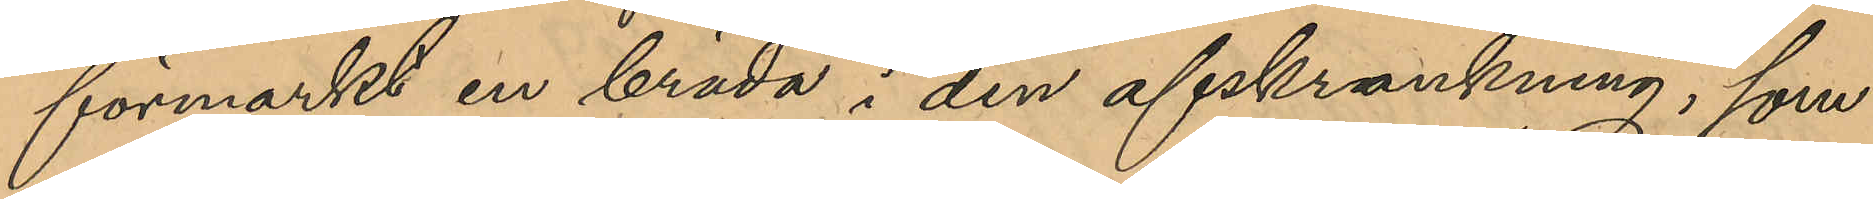förmärkt en bräda i den afskrankning, som
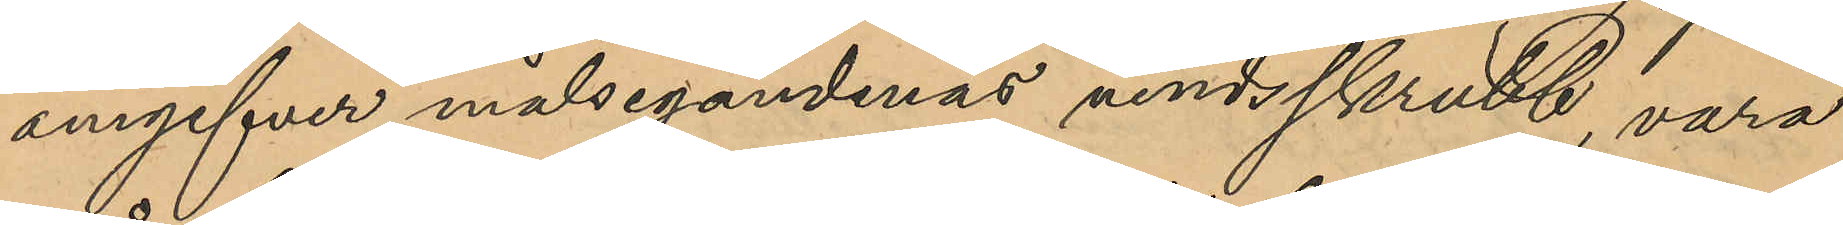angifver målsegandenas vindsskrubb, vara
